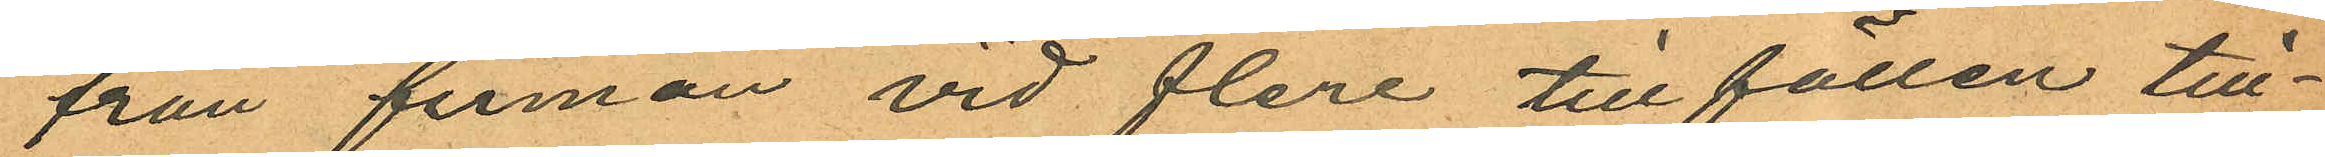från firman vid flera till fällen till¬
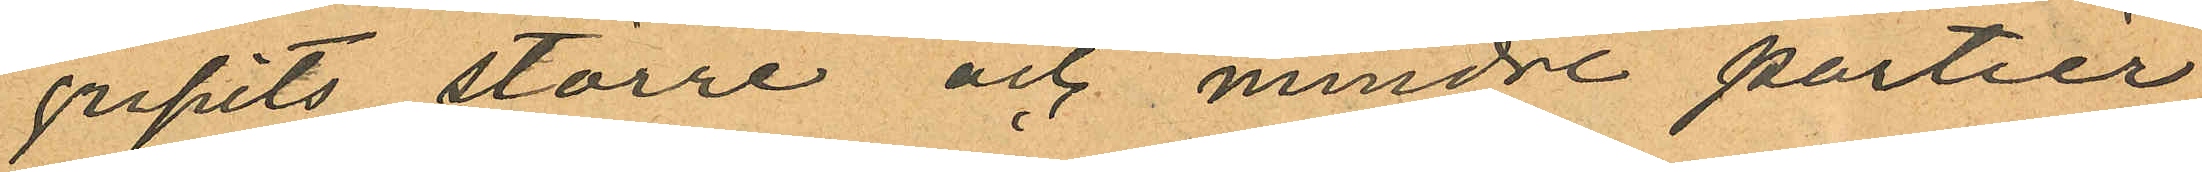gripits större och mindre partier
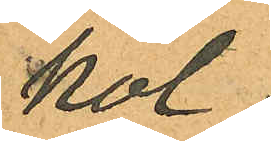kol
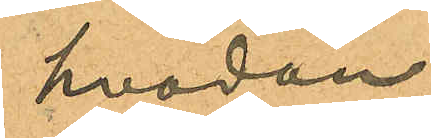hvadan
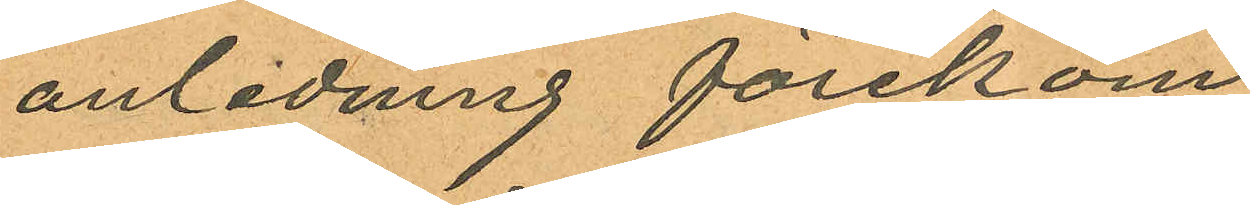anledning förekom¬
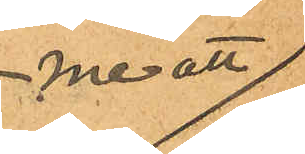me att
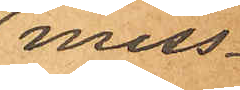miss¬
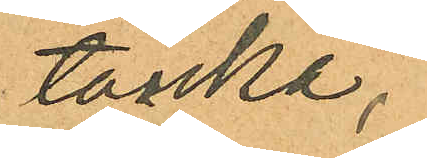tänka,
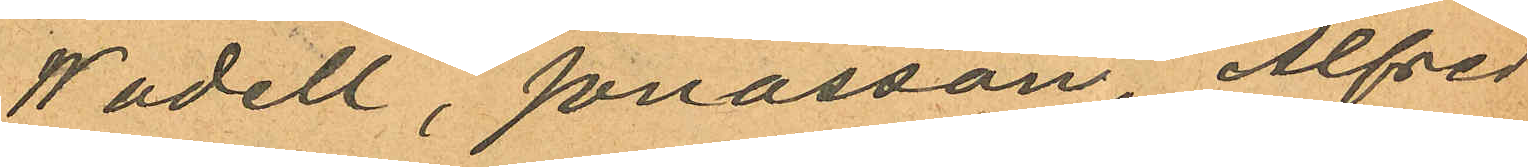Wadell, Jonasson, Alfred
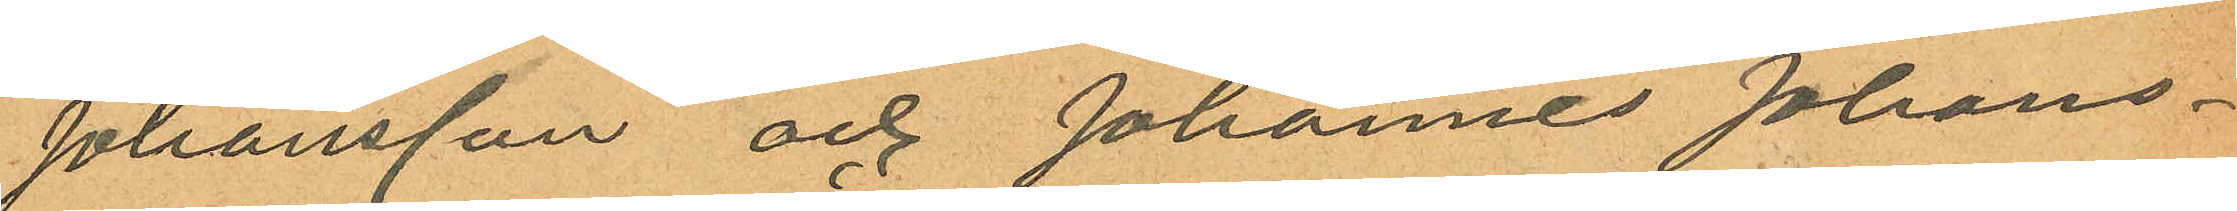Johansson och Johannes Johans¬
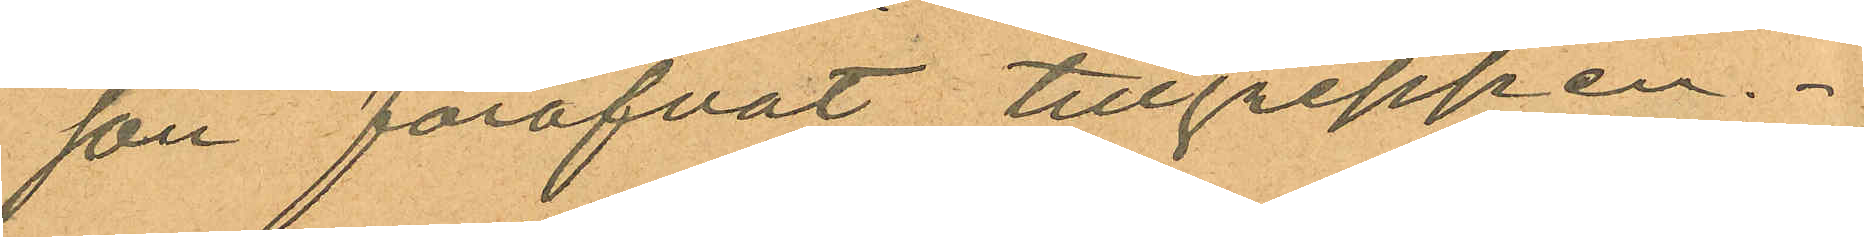son föröfvat tillgreppen.
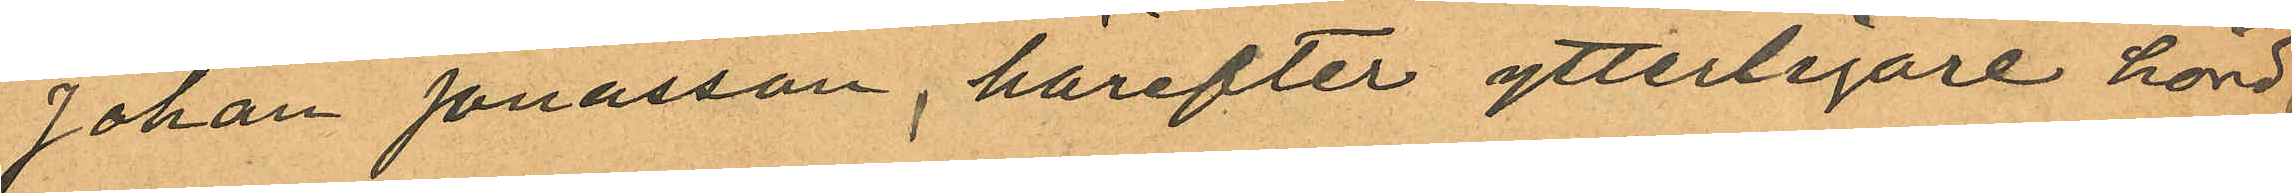Johan Jonasson, härefter ytterligare hörd,
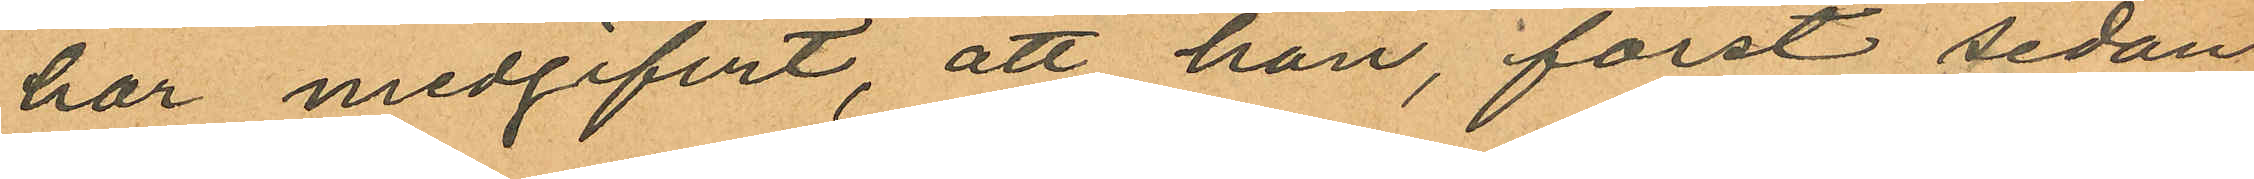har medgifvit, att han, först sedan
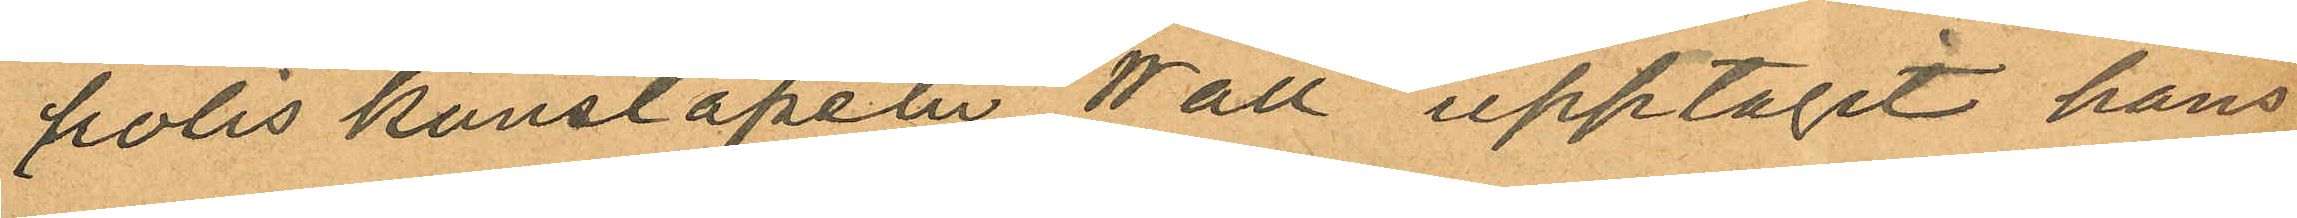polis konstapeln Wall upptagit hans
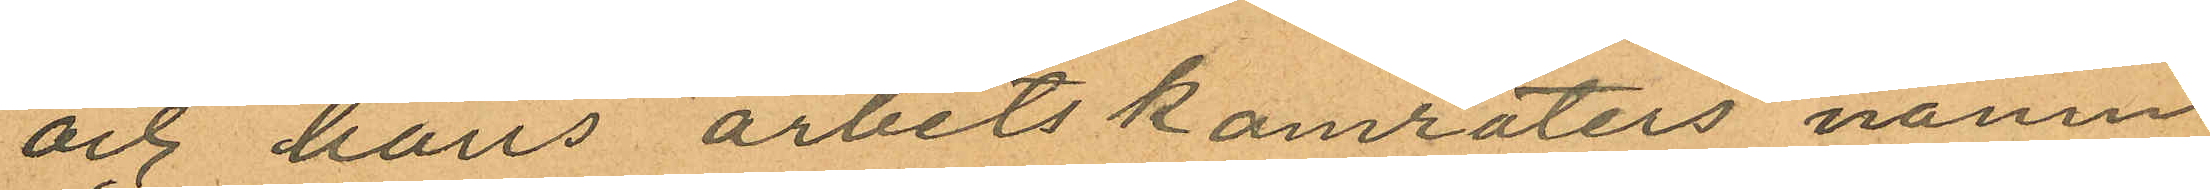och hans arbetskamraters namn
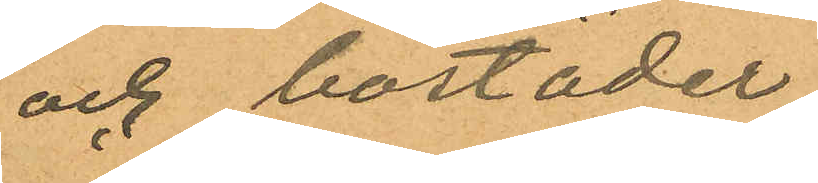och bostäder
